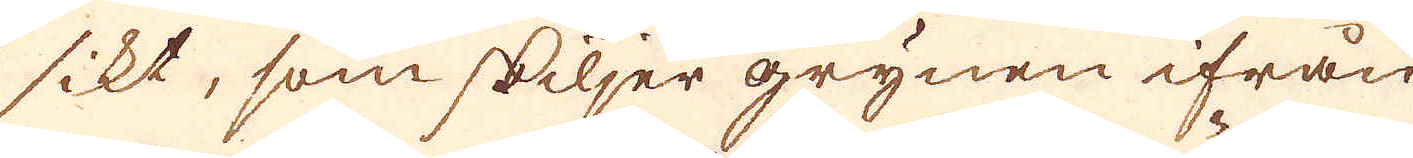sikt, som skiljer grynen ifrån
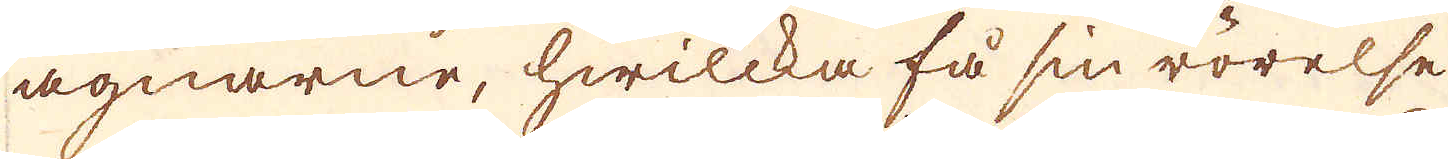agnarne, hwilcka få sin rörelse
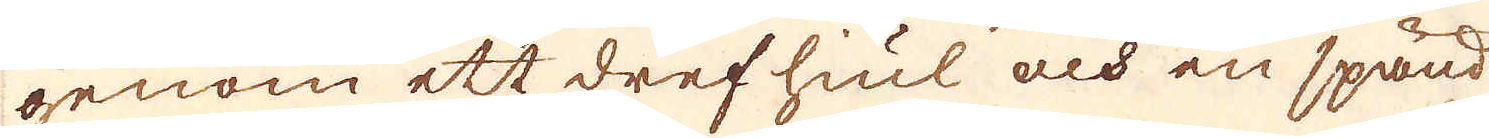genom ett dref hiul och en spänd
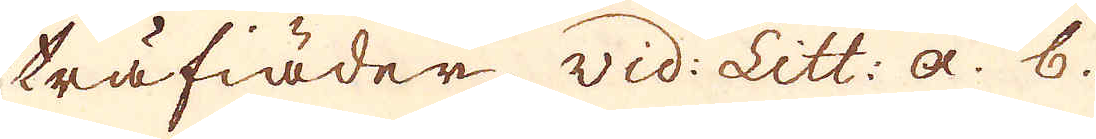träfiäder vid: Litt: a. b.
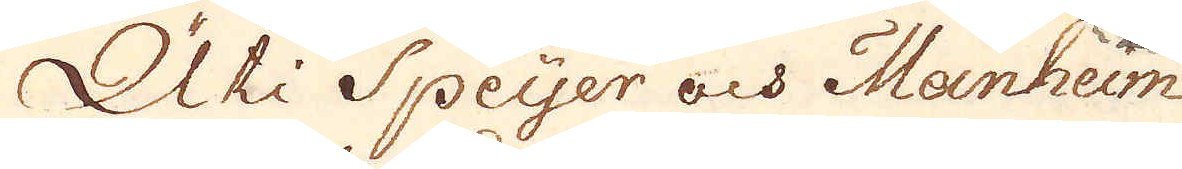Uti Speyer och Manheim
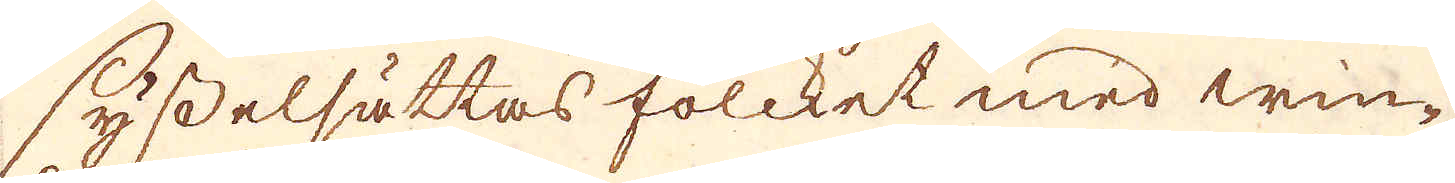sysselsättas folcket med win-
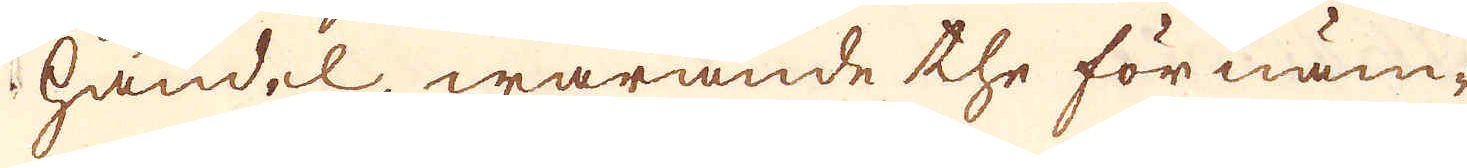handel, warande the förnäm-
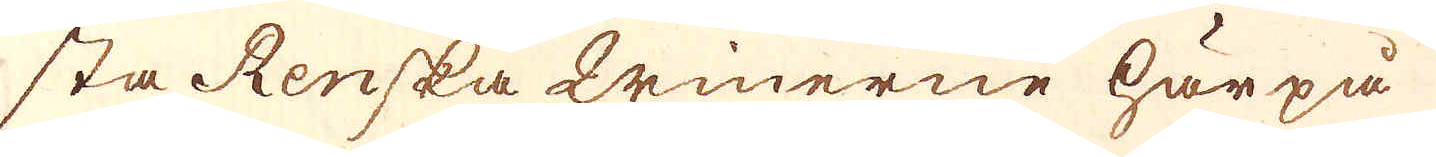sta Renska Winerne här på
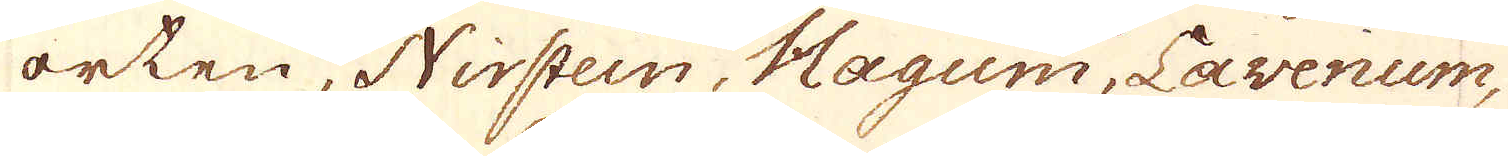orten, Nirstein, Hagum, Lavenum,
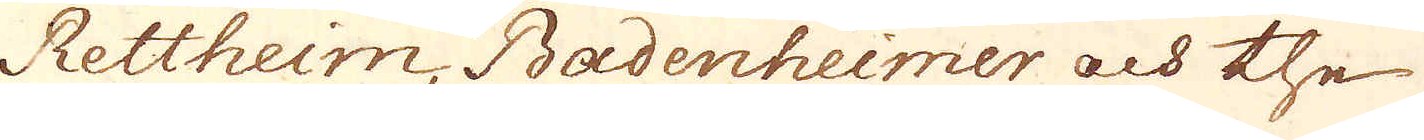Rettheim Badenheimer och the
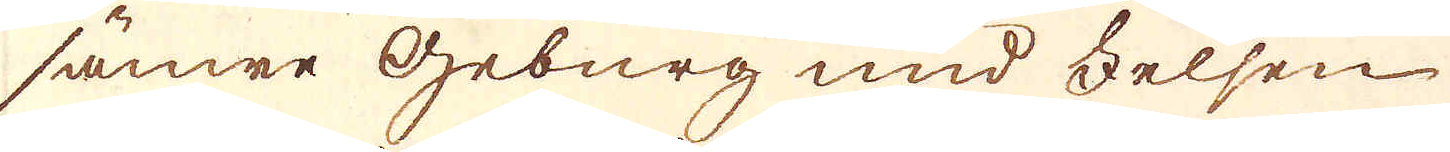sämre Geburg und Felsen
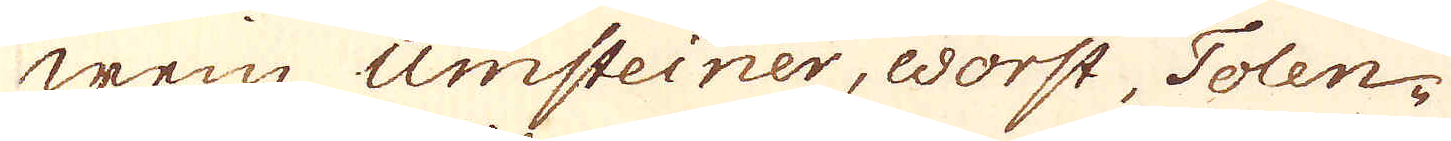wein Umsteiner, Worst, Tolen-
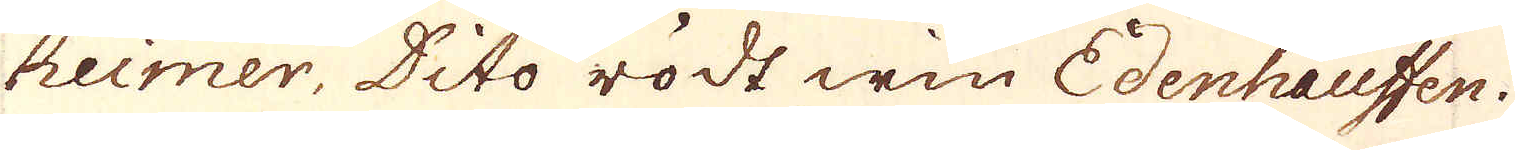heimer, Dito rödt win Edenhauffen.
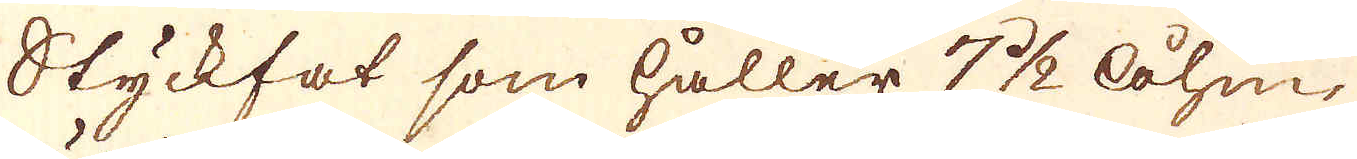Styckfat som håller 7 1/2 åhm,
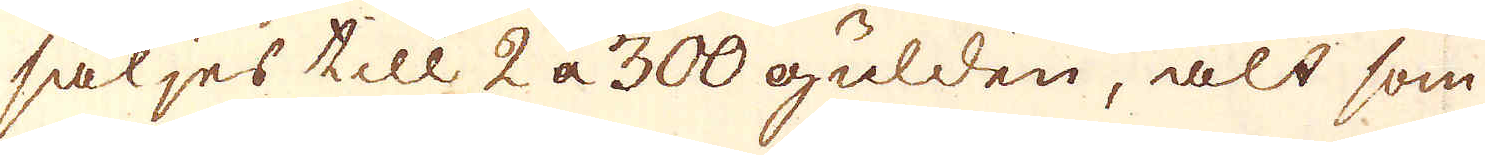säljes till 2 a 300 gulden, alt som
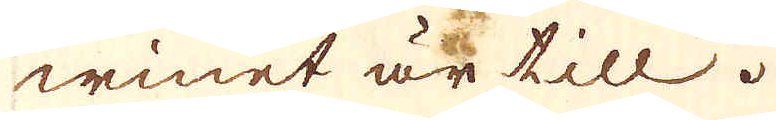winet är till.
